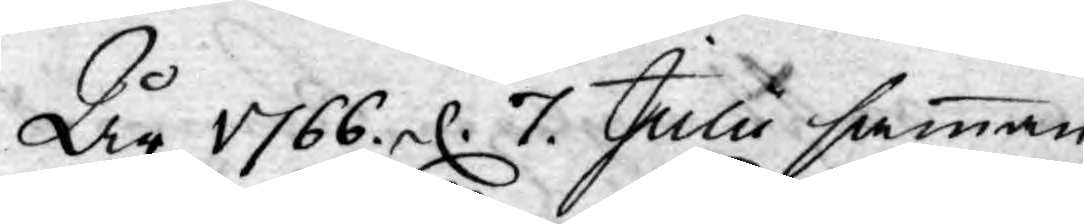År 1766 d. 7 Julii samman¬
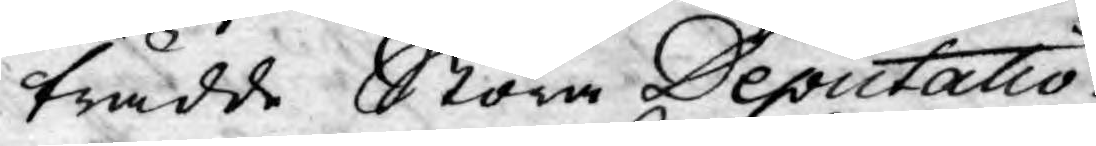trädde Stora Deputatio¬
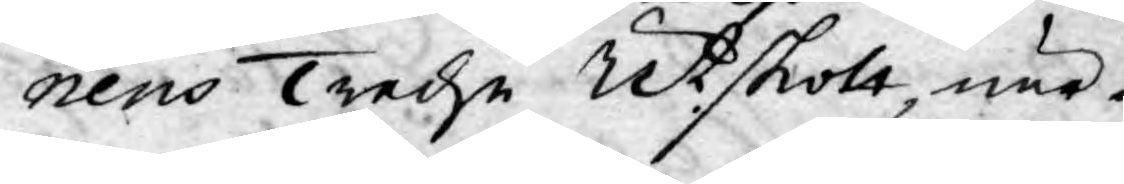nens Tredje Utskott, när¬
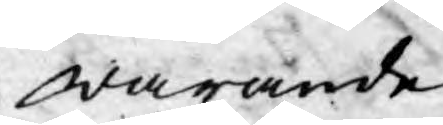warande
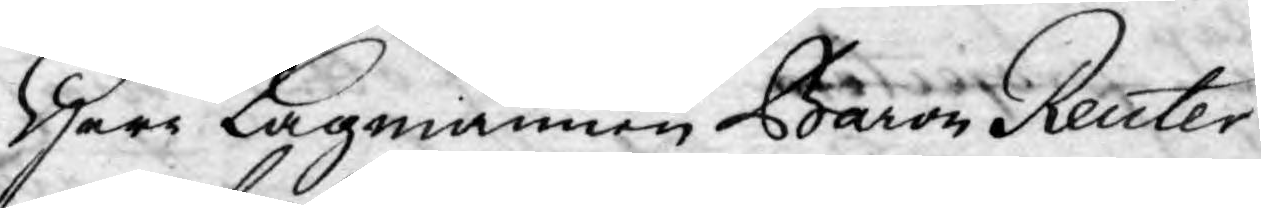Harr Lagmannen Baron Reuter¬
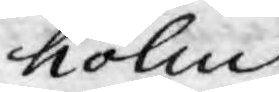holm
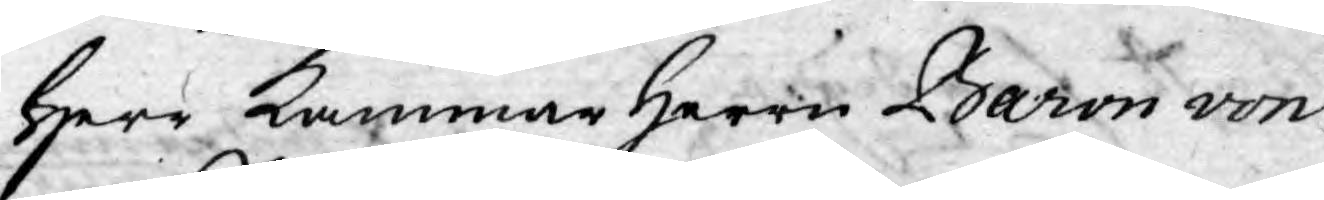Herr Kammar Herrn Baron von
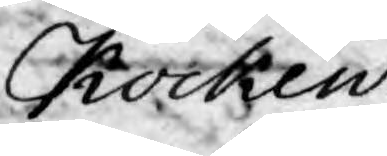Kocken,
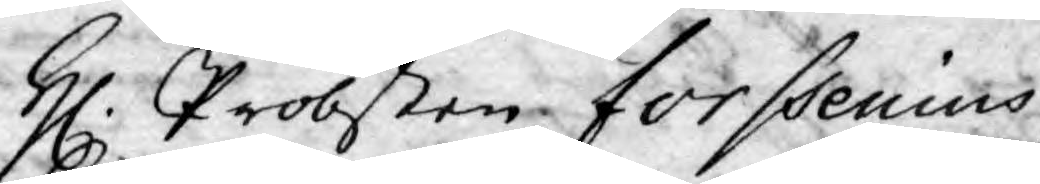H. Probsten Forssenius,
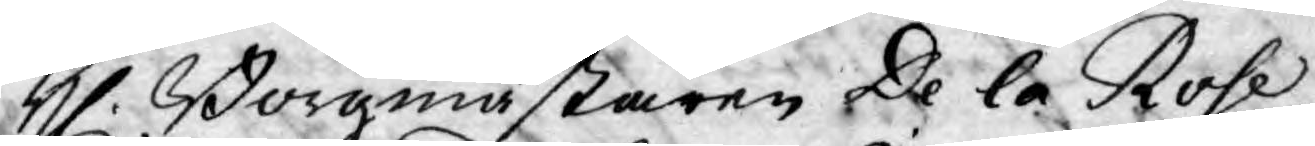H. Borgmästaren De la Rose,
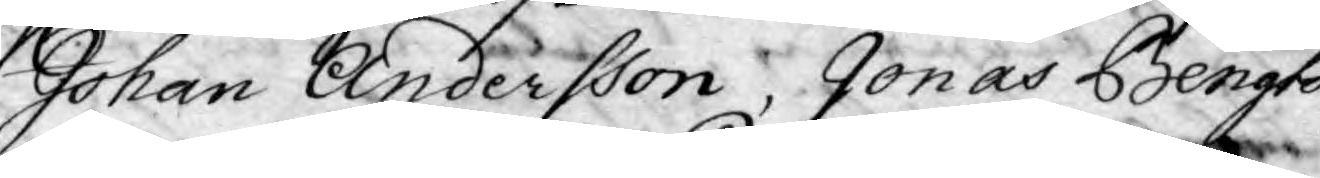Johan Andersson, Jonas Bengts¬
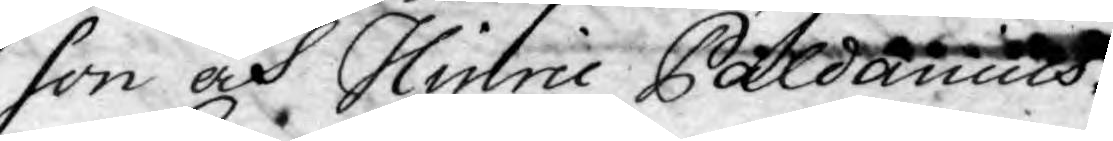son och Hinric Paldanius.
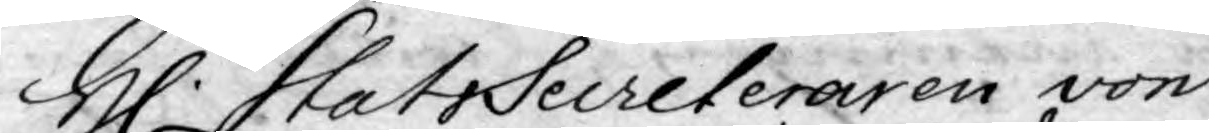H. StatsSecreteraren von
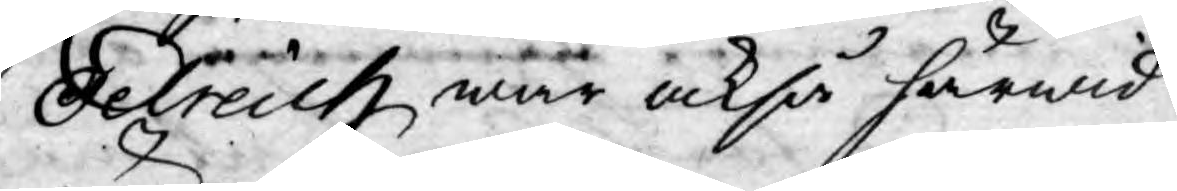Oelreich, war också härwid
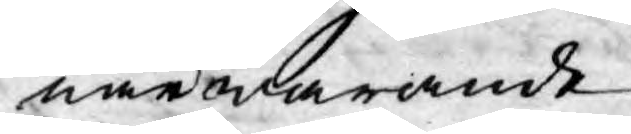närwarande.
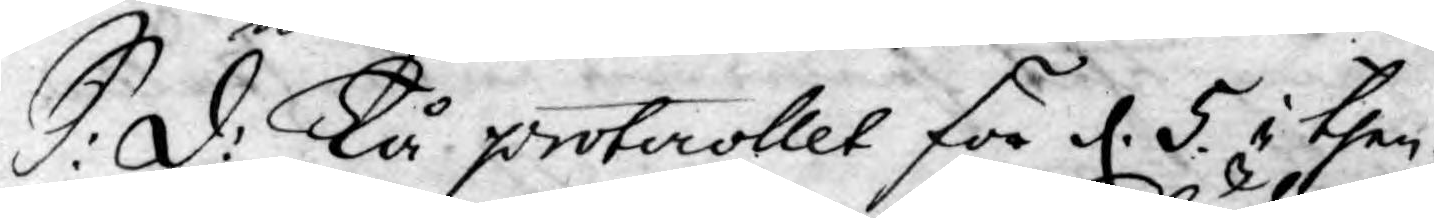S: d: Tå protocollet för d. 5. i then¬
